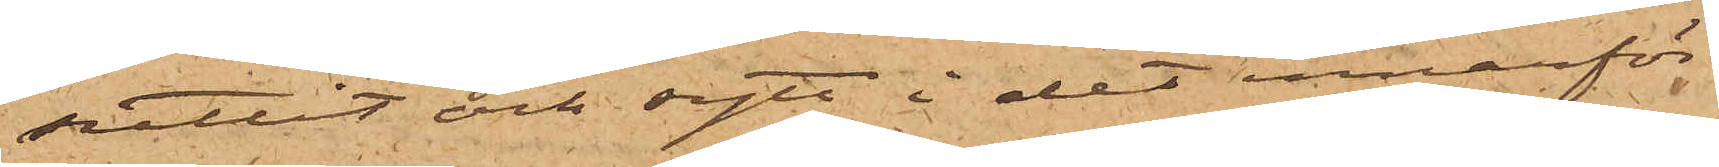suttit och sytt i det innanför
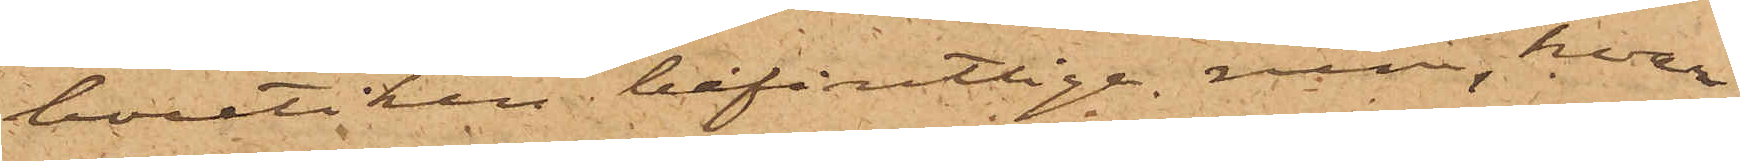boutiken befintlige rum, hvar¬
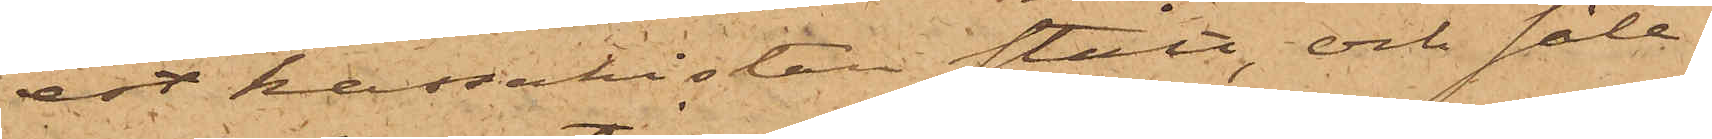est kassakistan stått, och såle¬
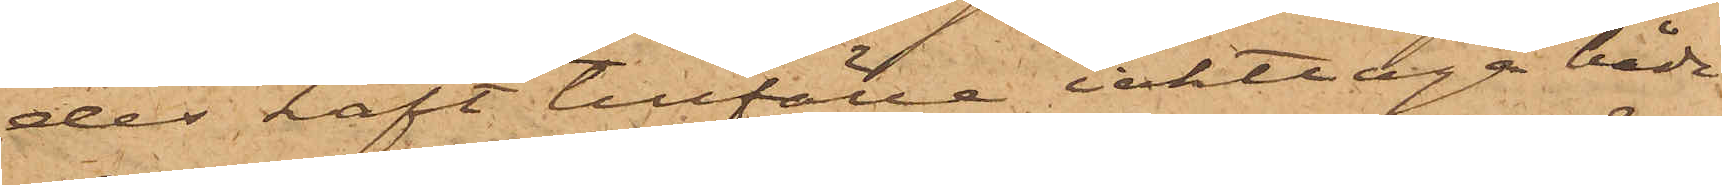des haft tillfälle iakttaga både
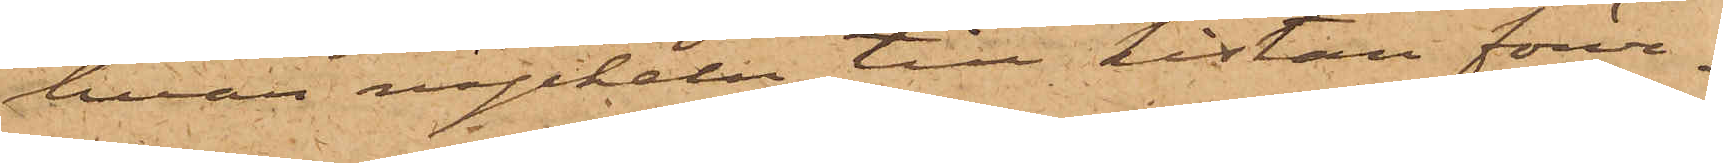hvar nyckeln till kistan förva¬
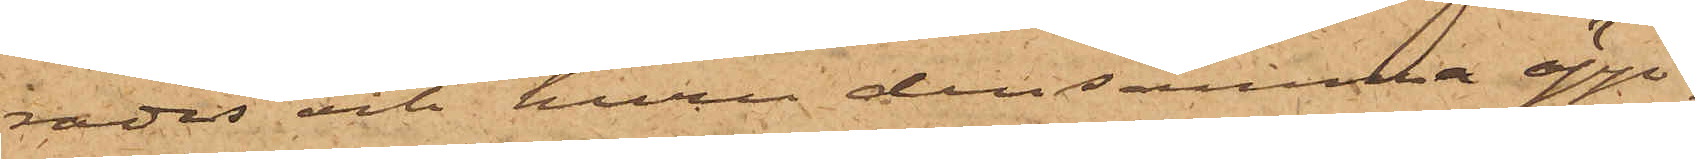rades och huru densamma öpp¬
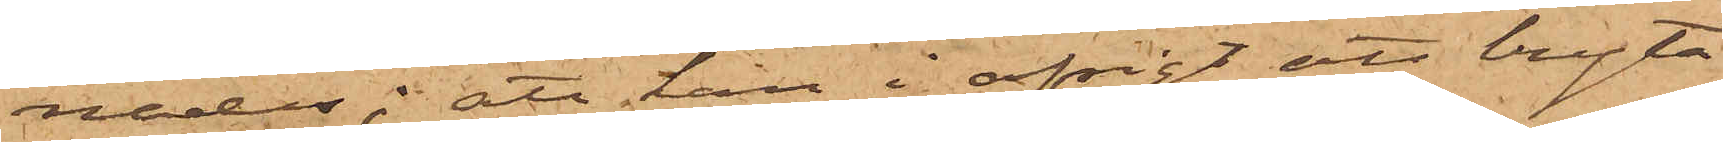nades; att han i afsigt att bryta
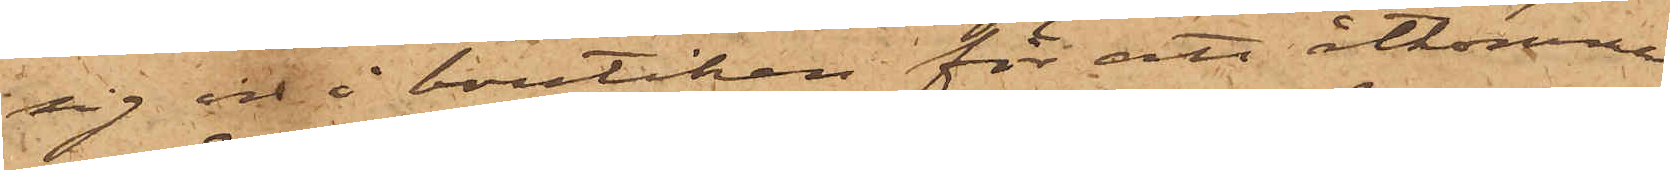sig in i boutiken för att åtkomma
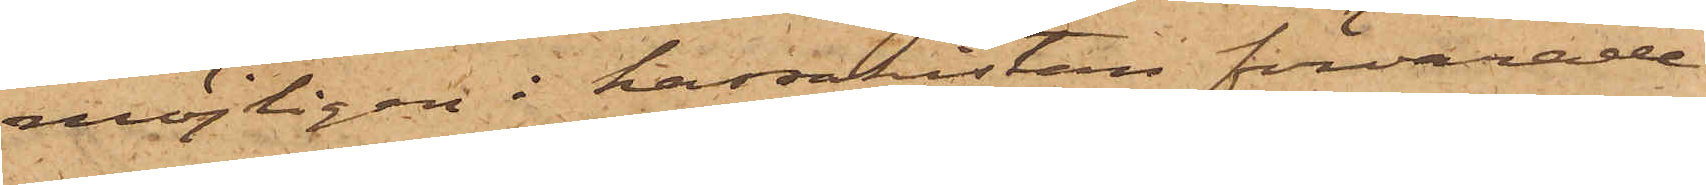möjligen i kassakistan förvarade
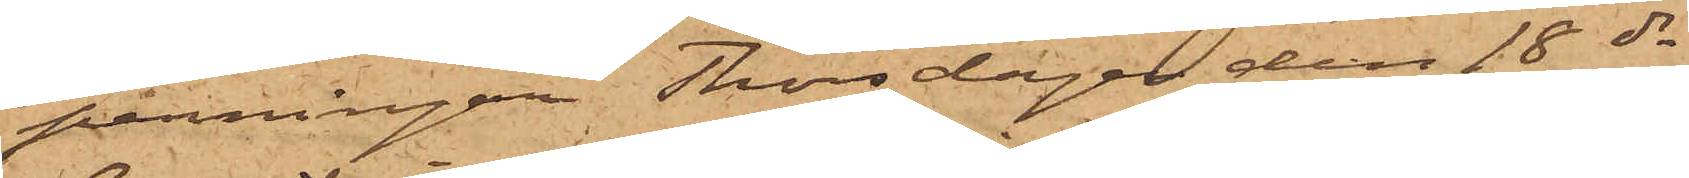penningar Thorsdagen den 18 ds
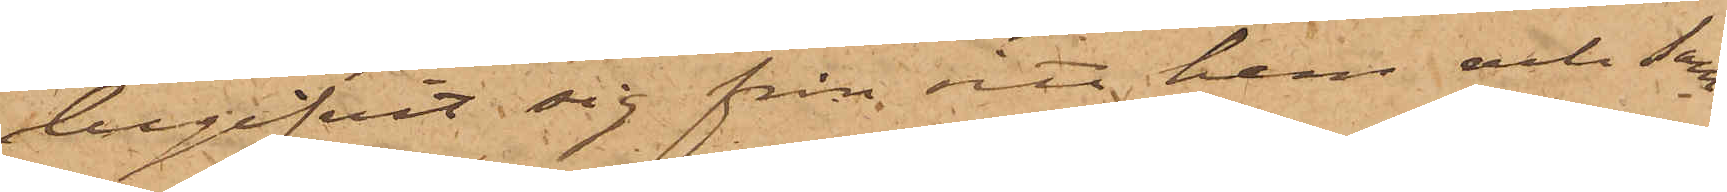begifvit sig från sitt hem och sam¬
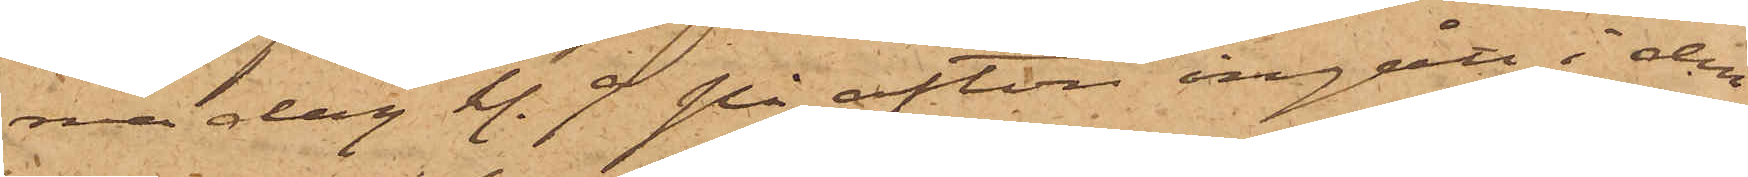ma dag kl. 9 på afton ingått i den
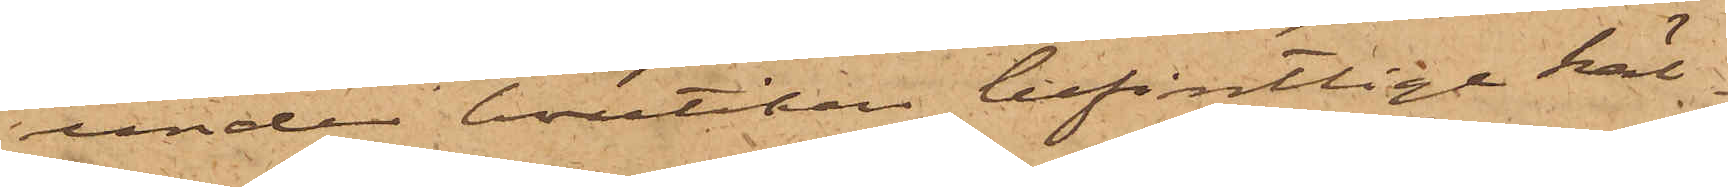under boutiken befintlige käl¬
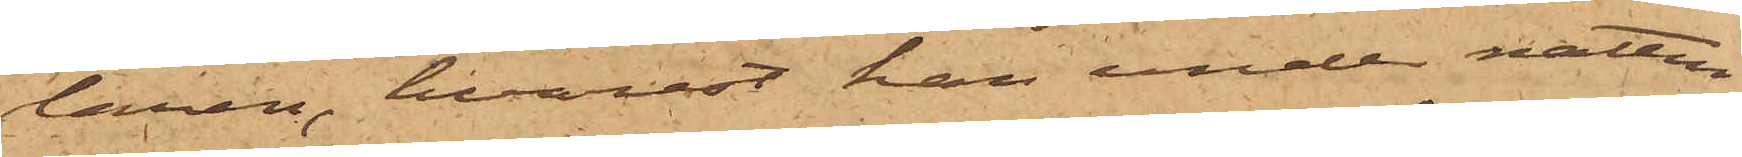laren, hvarest han under natten
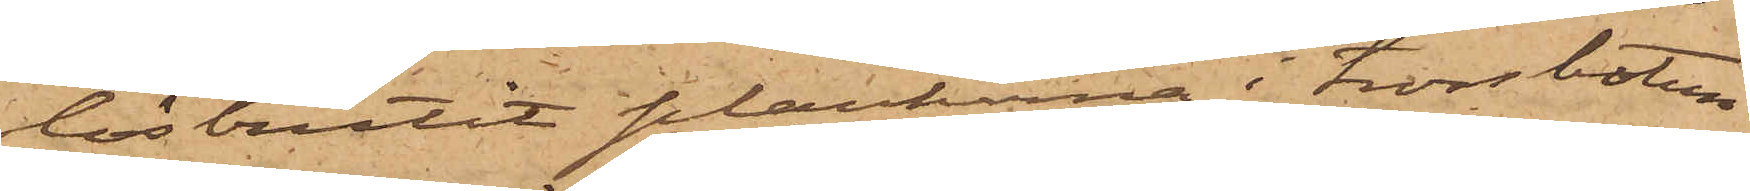lösbrutit plankerna i trossbotten
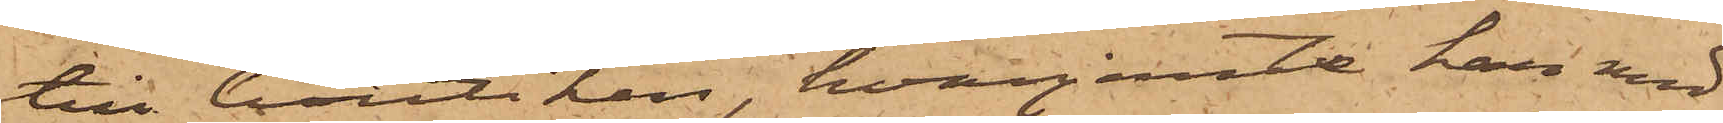till boutiken, hvarjemte han med
